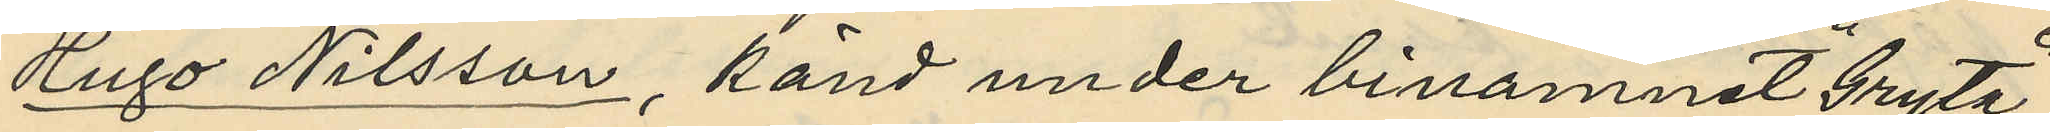Hugo Nilsson, känd under binamnet "Gryta",
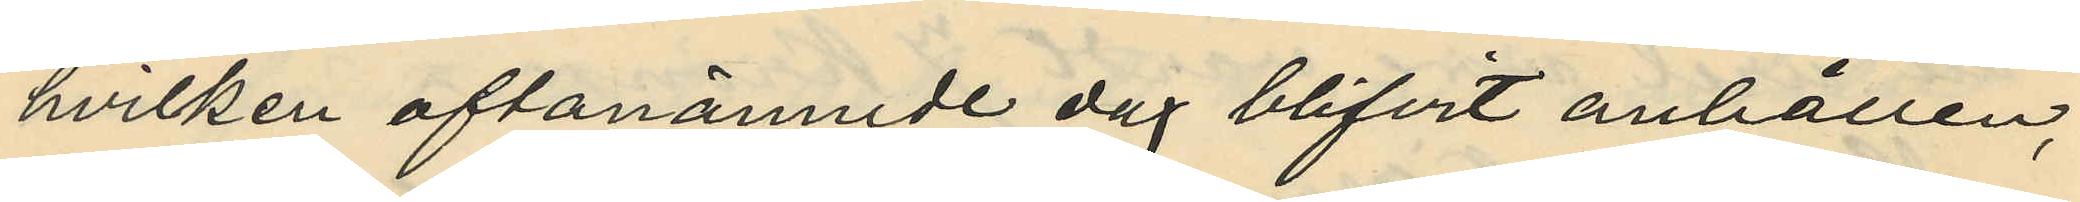hvilken oftanämnde dag blifvit anhållen,
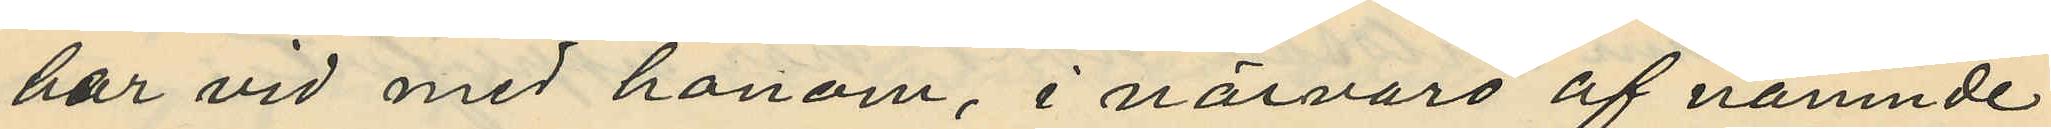har vid med honom, i närvaro af nämnde
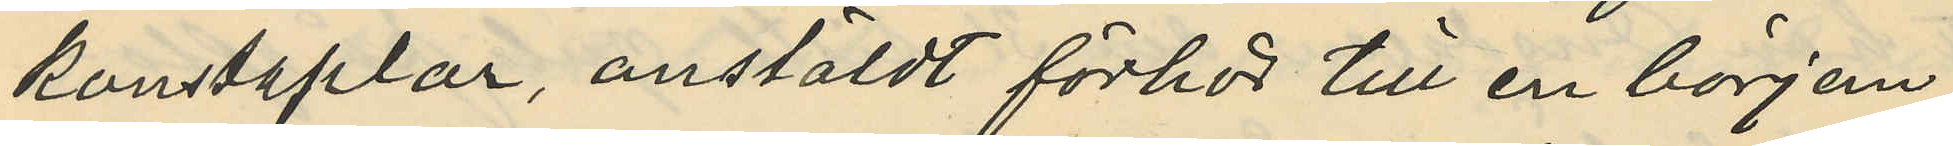konstaplar, anstäldt förhör till en början
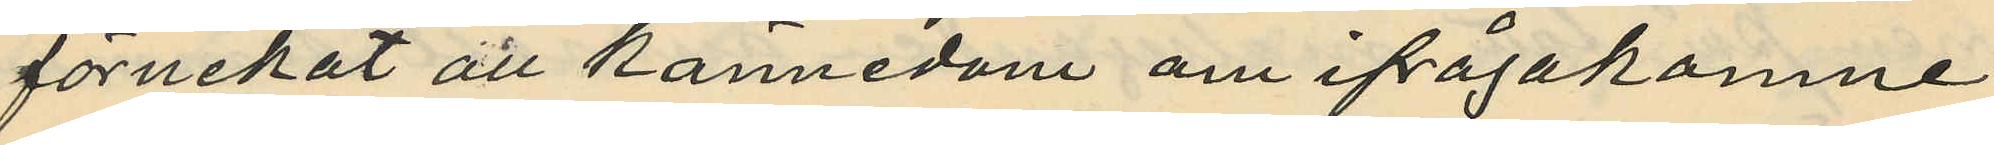förnekat all kännedom om ifrågakomne
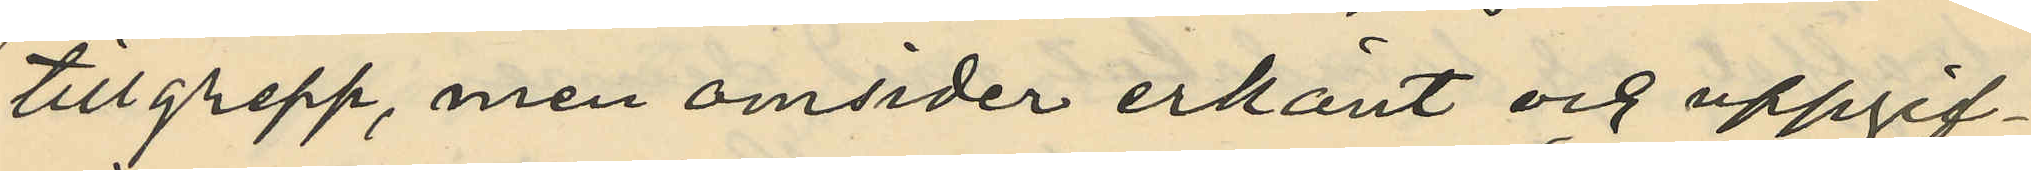tillgrepp, men omsider erkänt och uppgif¬
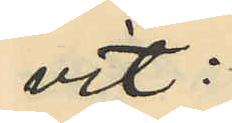vit:
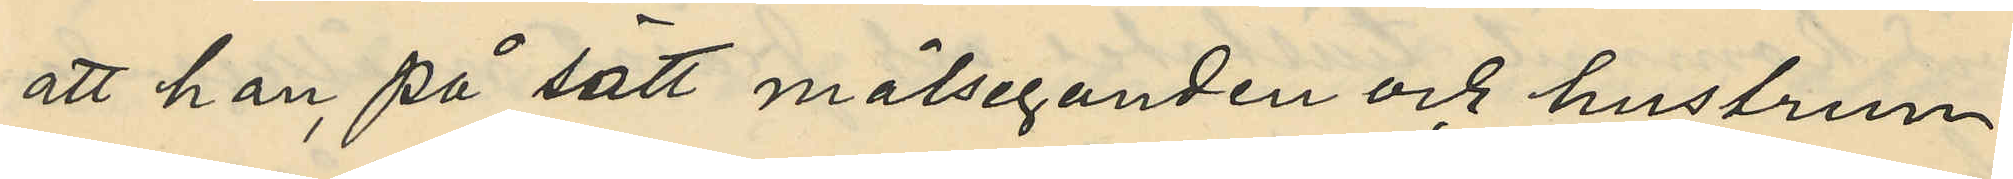att han, på sätt målseganden och hustrun
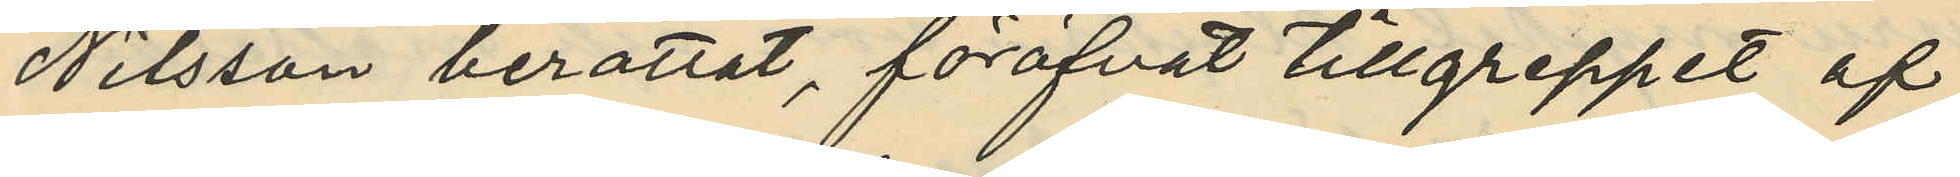Nilsson berättat, föröfvat tillgreppet af
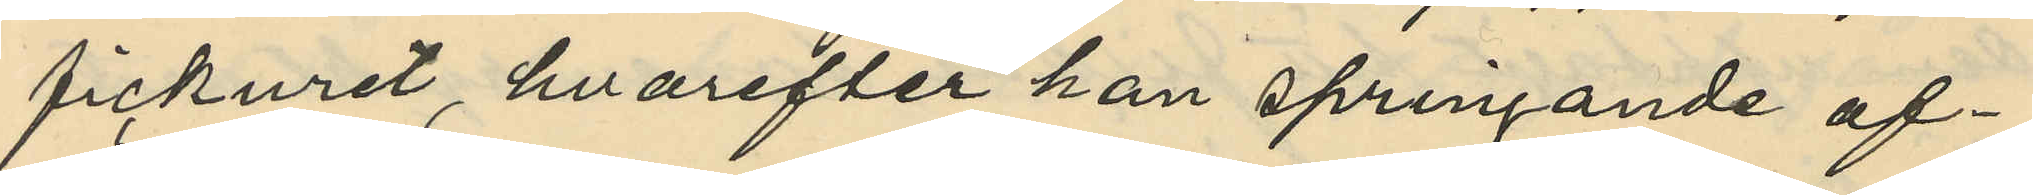fickuret, hvarefter han springande af¬
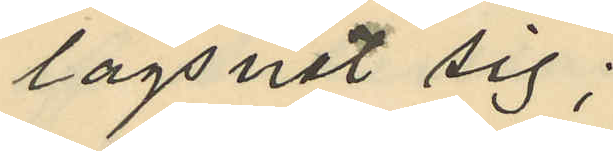lägsnat sig;
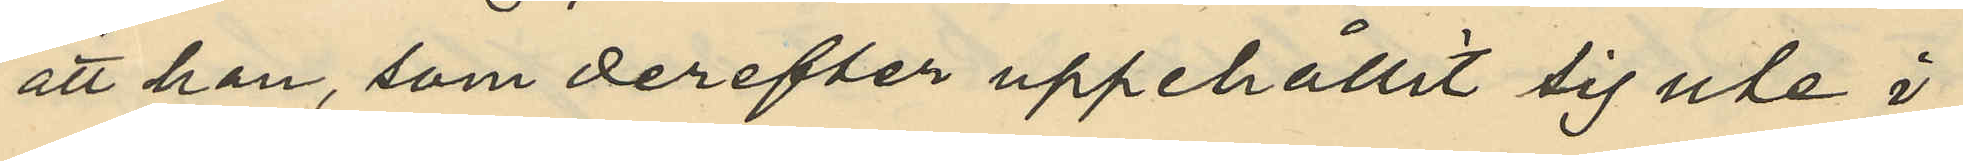att han, som derefter uppehållit sig ute i
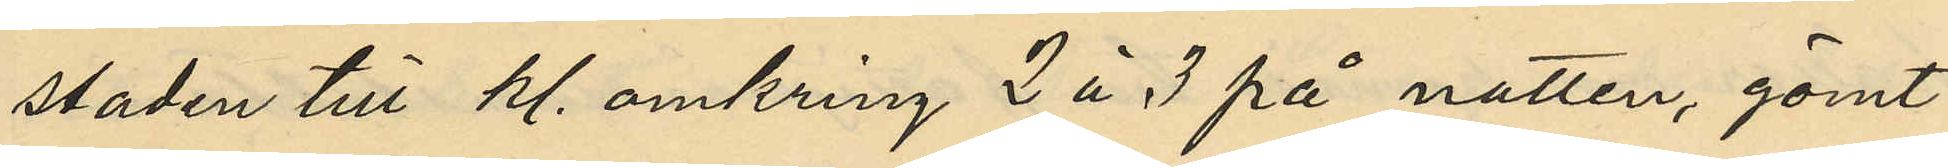staden till kl. omkring 2 à 3 på natten, gömt
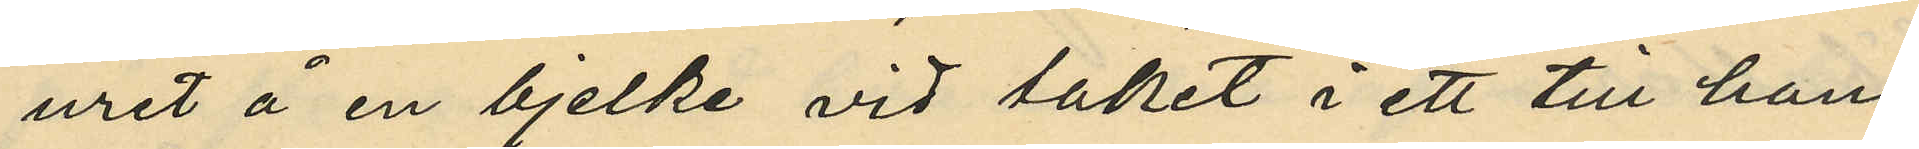uret å en bjelke vid taket i ett till hans
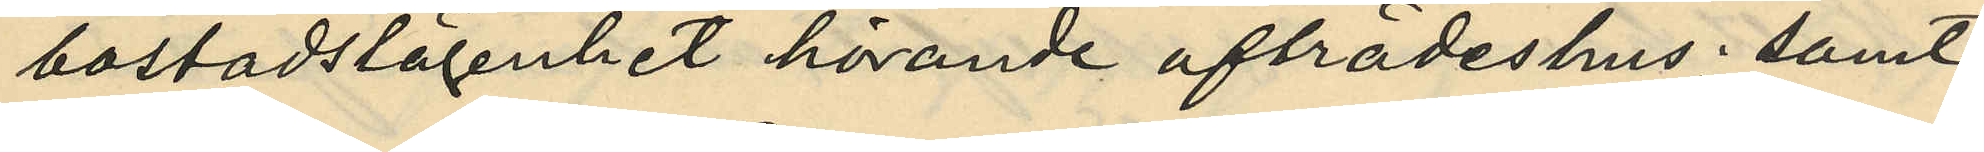bostadslägenhet hörande afträdeshus; samt
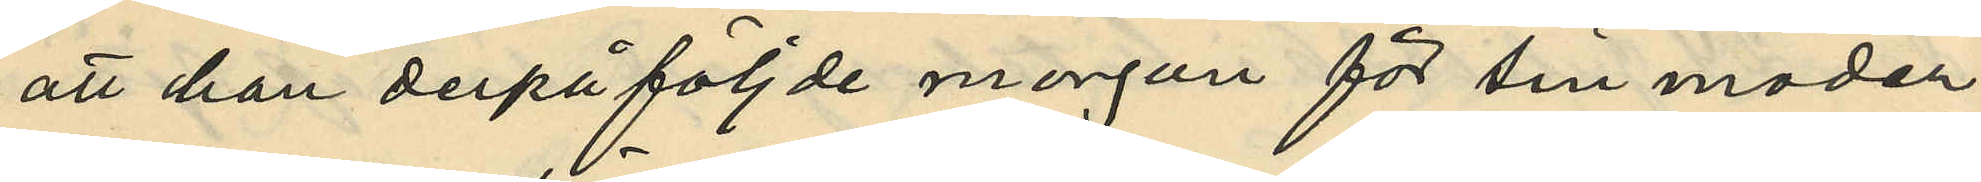att han derpåföljde morgon för sin moder
